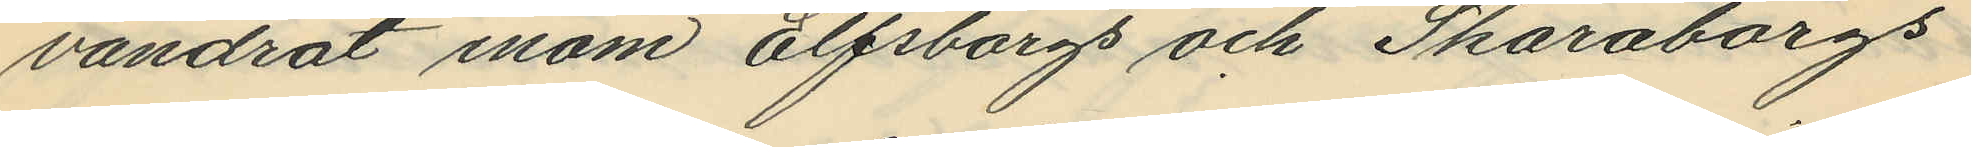vandrat inom Elfsborgs och Skaraborgs
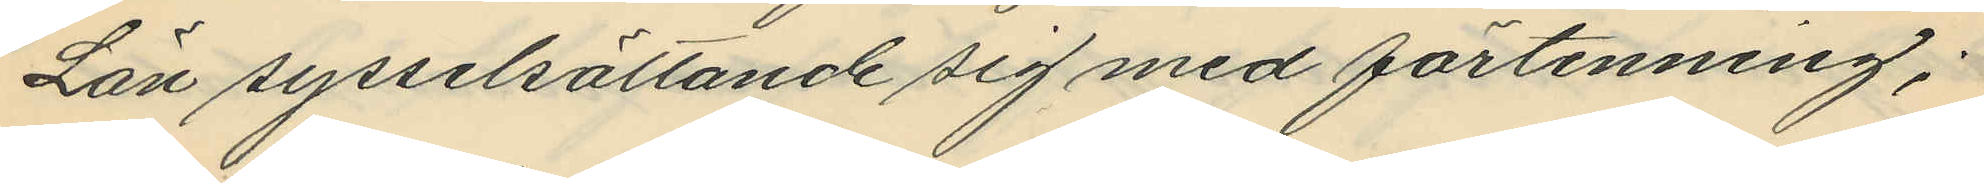Län sysselsättande sig med förtenning;
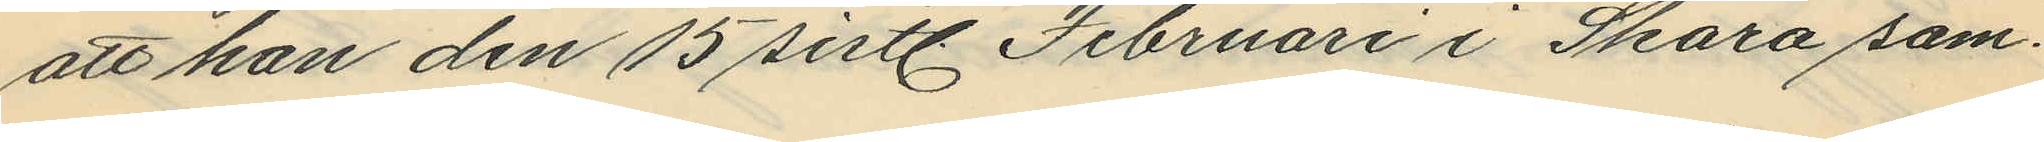att han den 15 sistl Februari i Skara sam¬
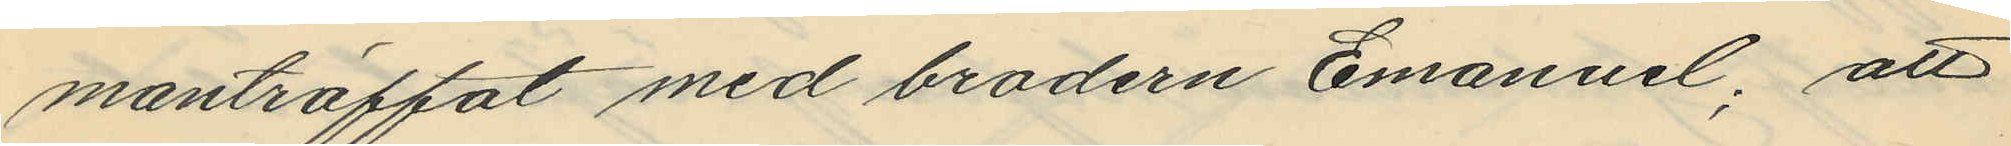manträffat med brodern Emanuel; att
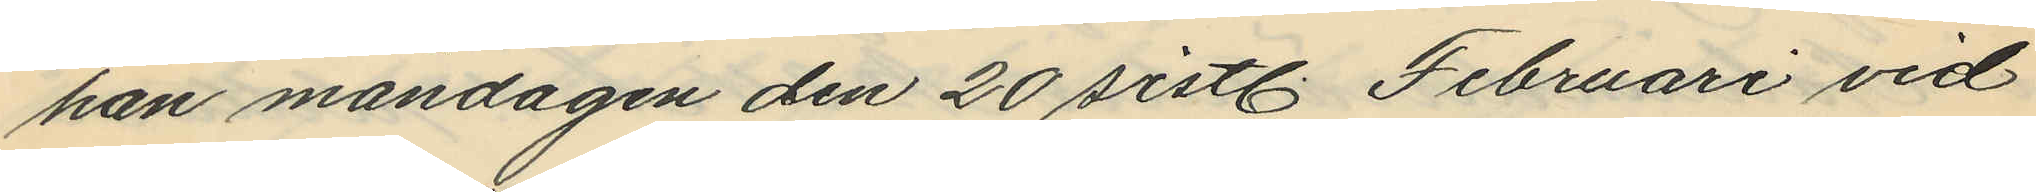han måndagen den 20 sistl. Februari vid
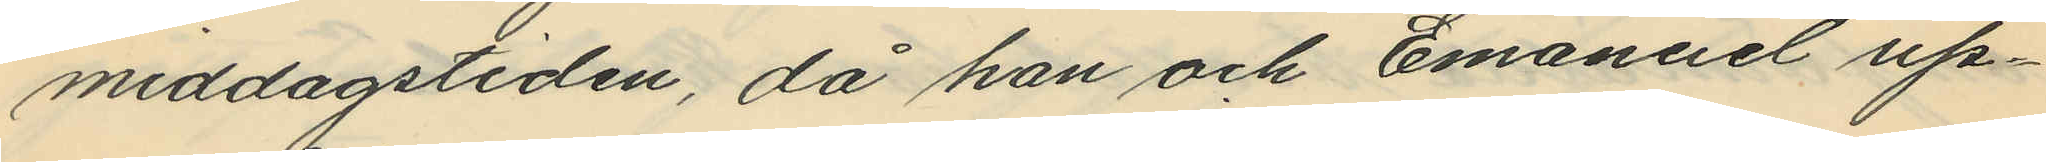middagstiden, då han och Emanuel up¬
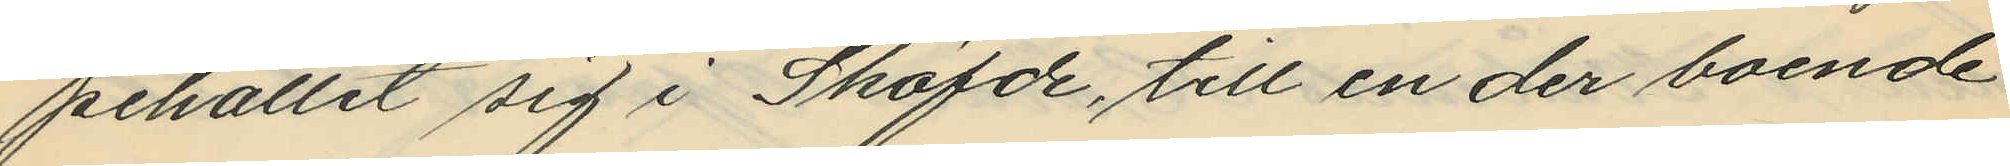pehållit sig i Sköfde, till en der boende
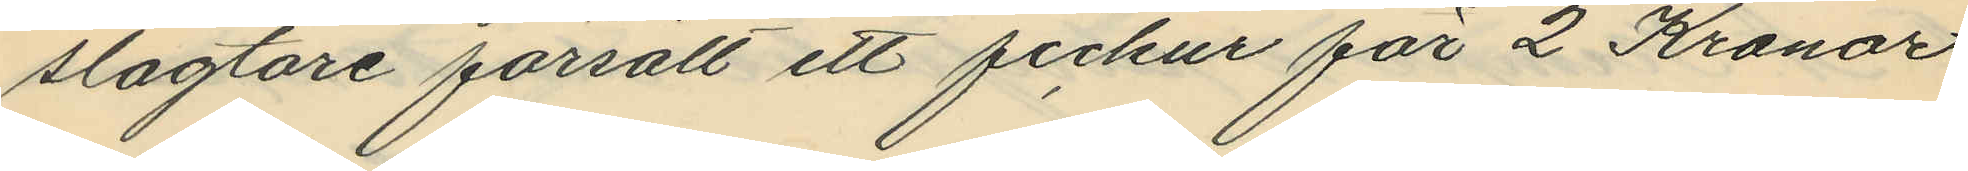slagtare försålt ett fickur för 2 Kronor
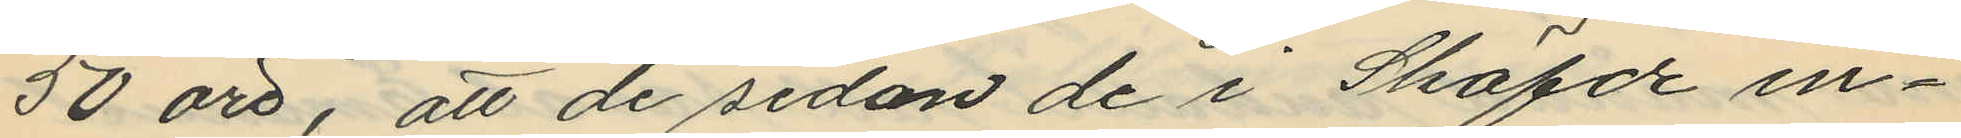50 öre, att de sedan de i Sköfde in¬
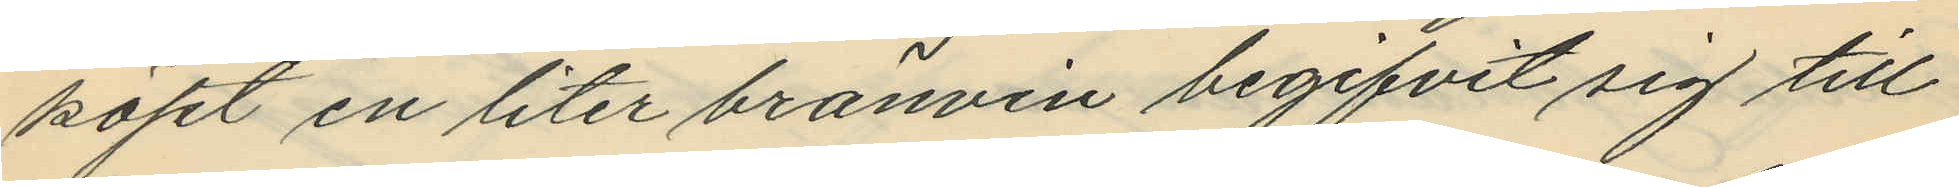köpt en liter bränvin begifvit sig till
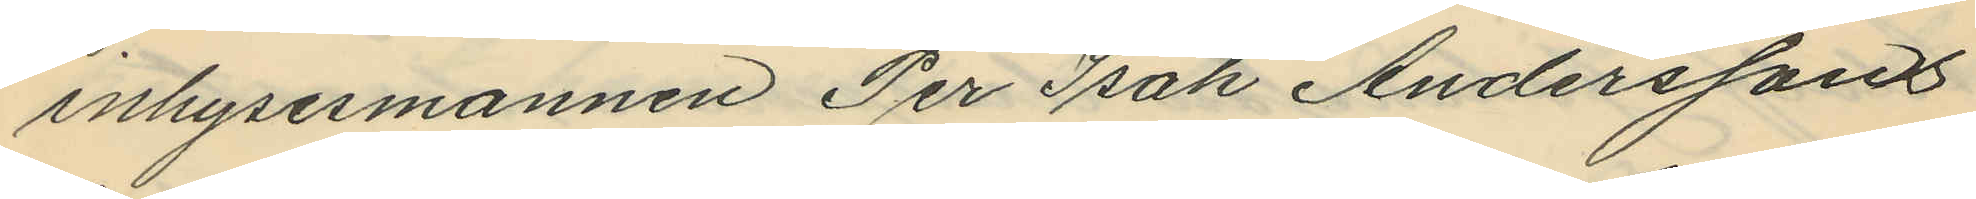inhysesmannen Per Isak Anderssons
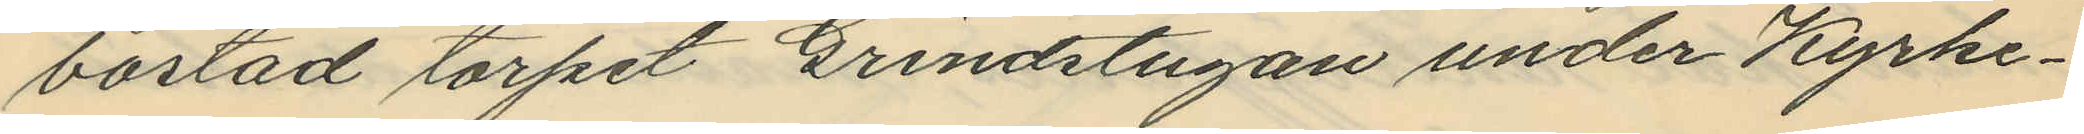bostad torpet Grindstugan under Kyrke¬
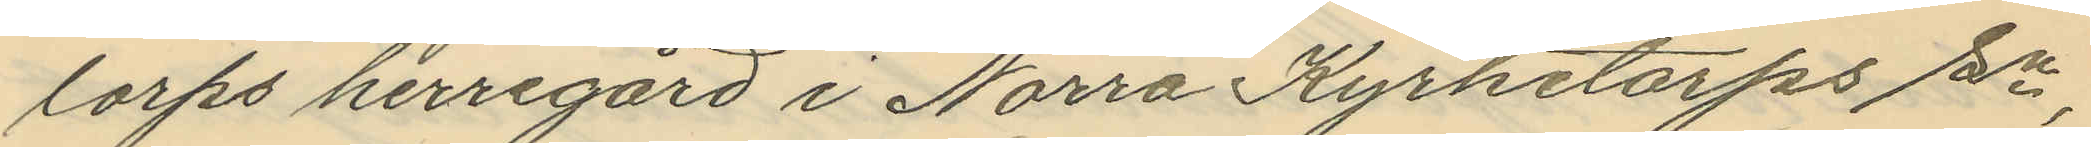lorps herregård i Norra Kyrketorps sn,
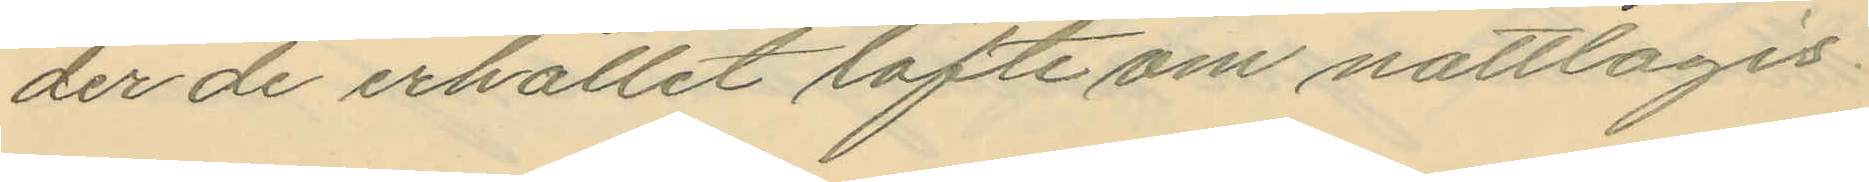der de erhållit löfte om nattlogis
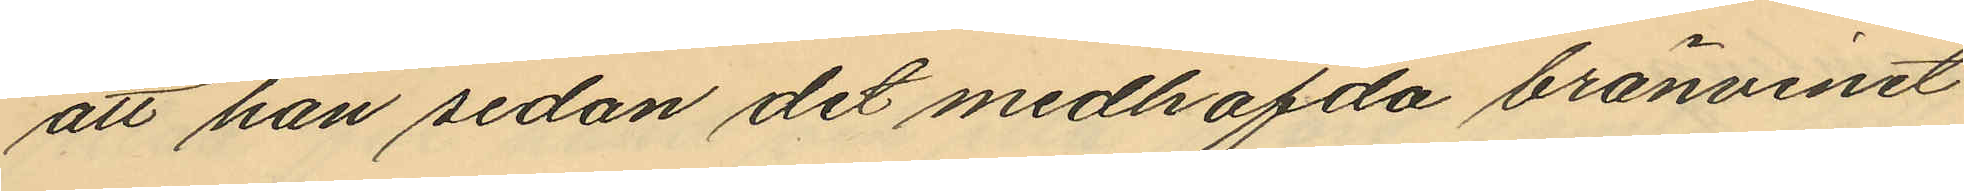att han sedan det medhafda bränvinet
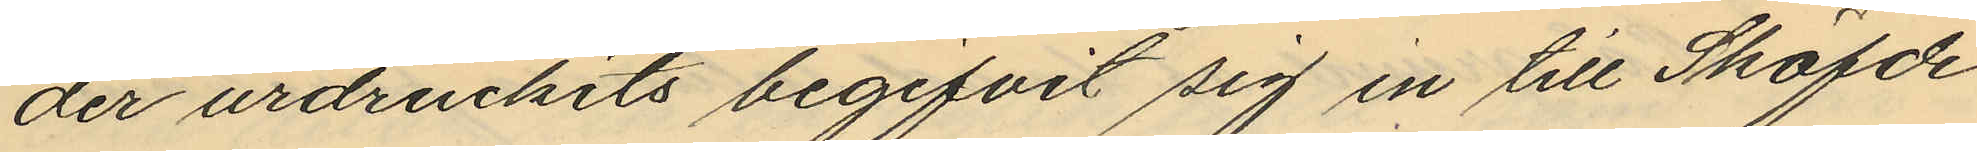der urdruckits begifvit sig in till Sköfde
